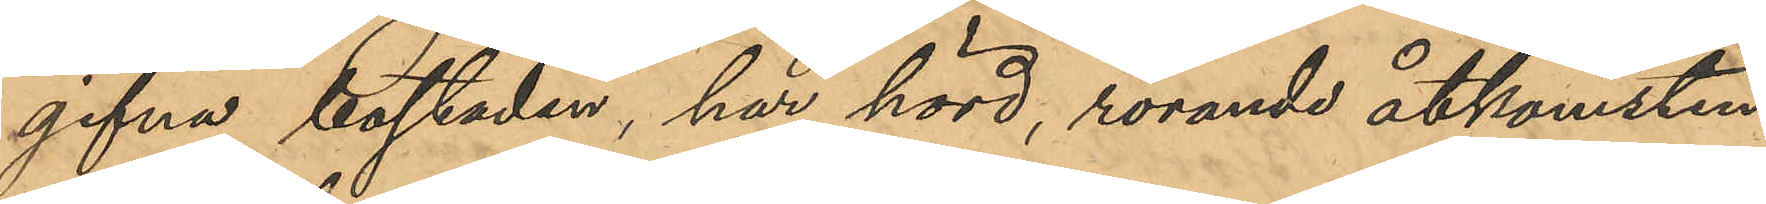gifna bostaden, har hörd, rörande åtkomsten
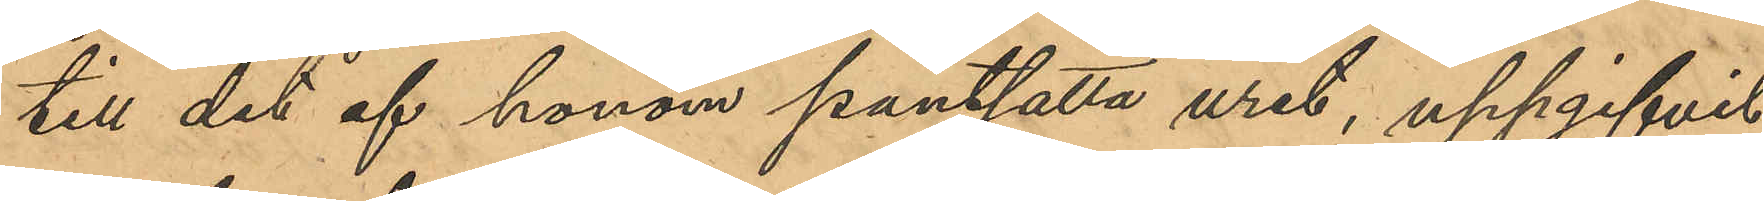till det af honom pantsatta uret, uppgifvit
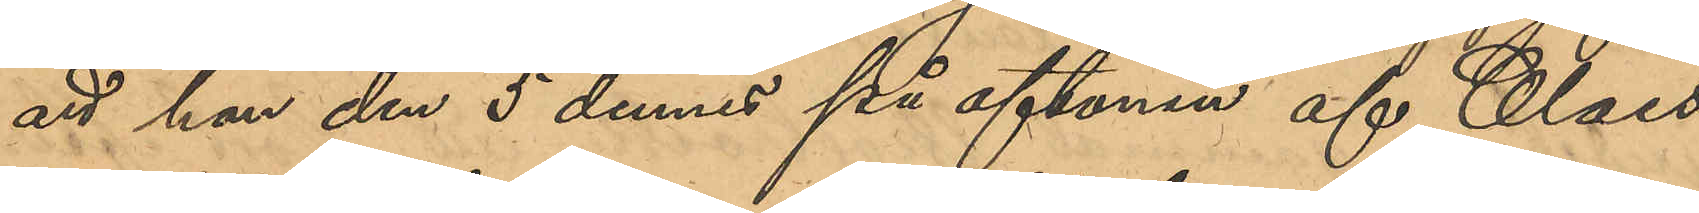att han den 5 dennes på aftonen af Claes
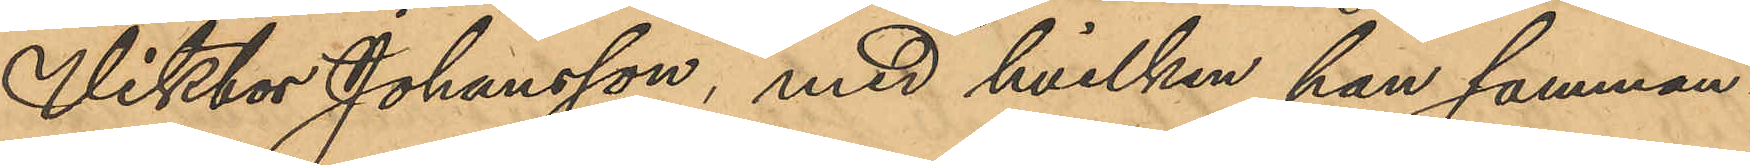Viktor Johansson, med hvilken han samman¬
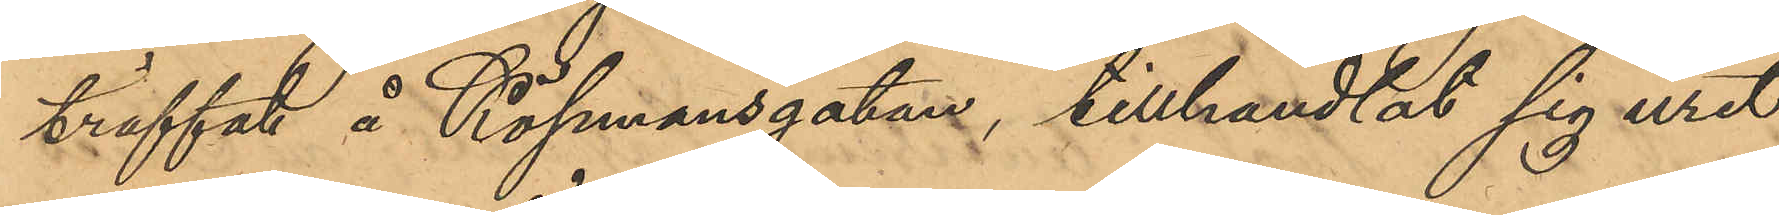träffat å Köpmansgatan, tillhandlat sig uret
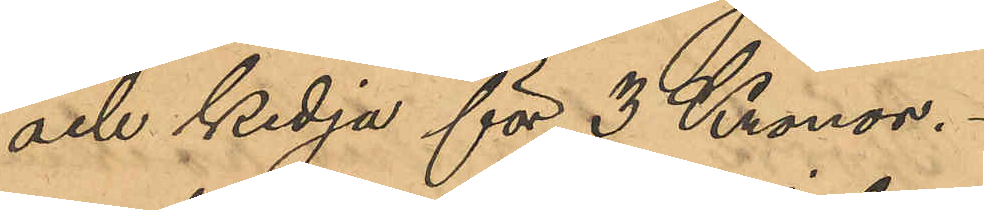och kedja för 3 Kronor.
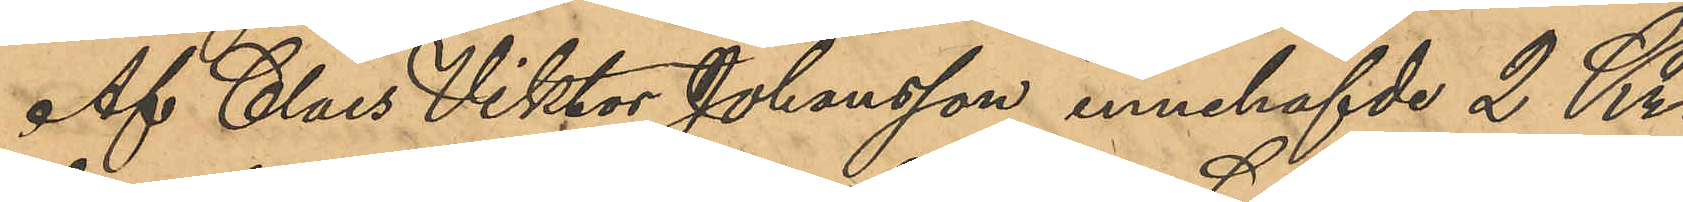Af Claes Viktor Johansson innehafvde 2 Kr.
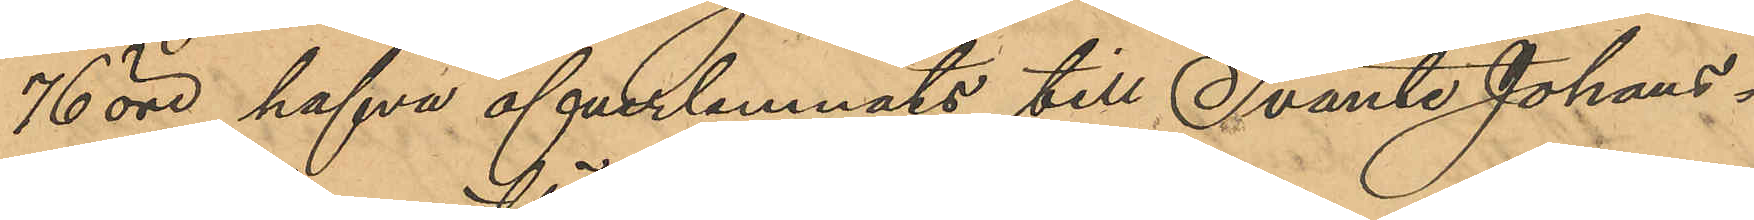76 öre hafva öfverlemnats till Svante Johans¬
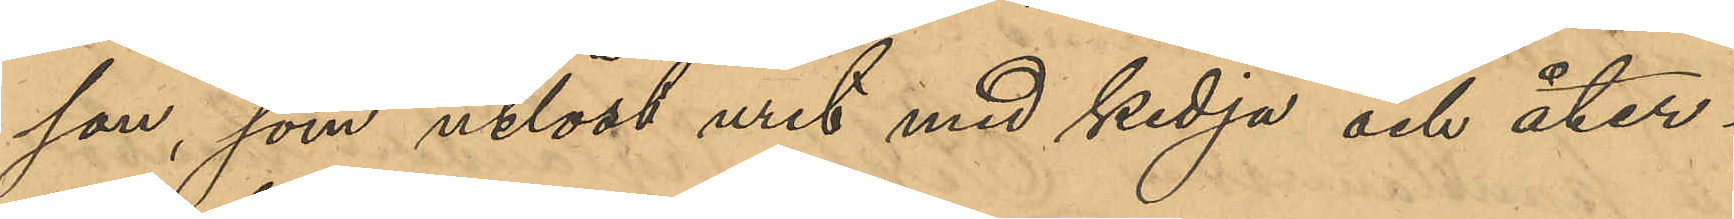son, som utlöst uret med kedja och åter¬
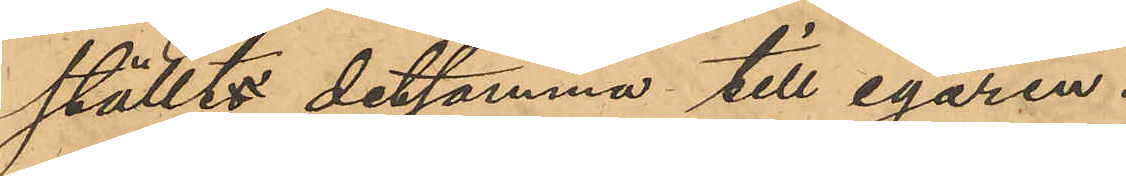ställt detsamma till egaren.
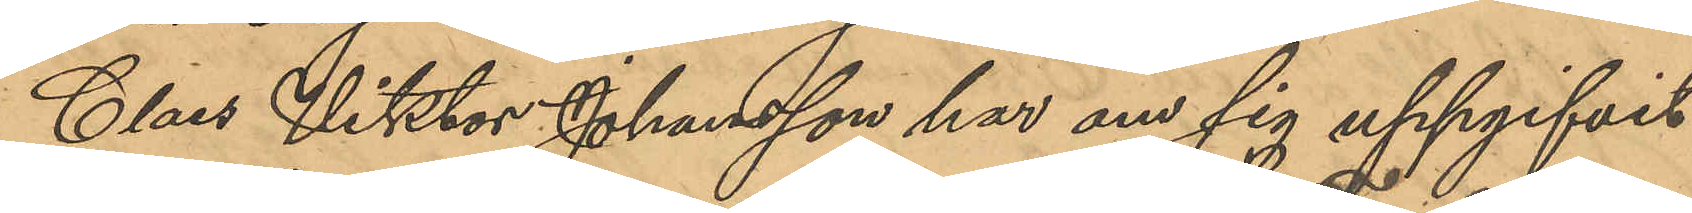Claes Viktor Johansson har om sig uppgifvit,
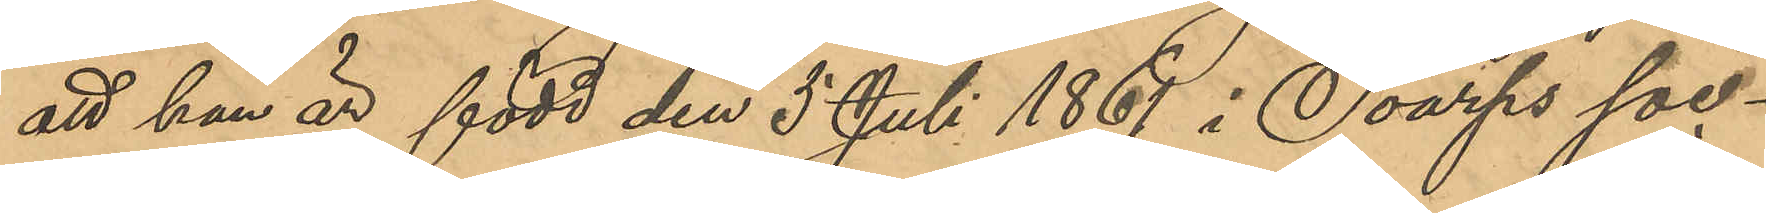att han är född den 5 Juli 1861 i Toarps soc¬
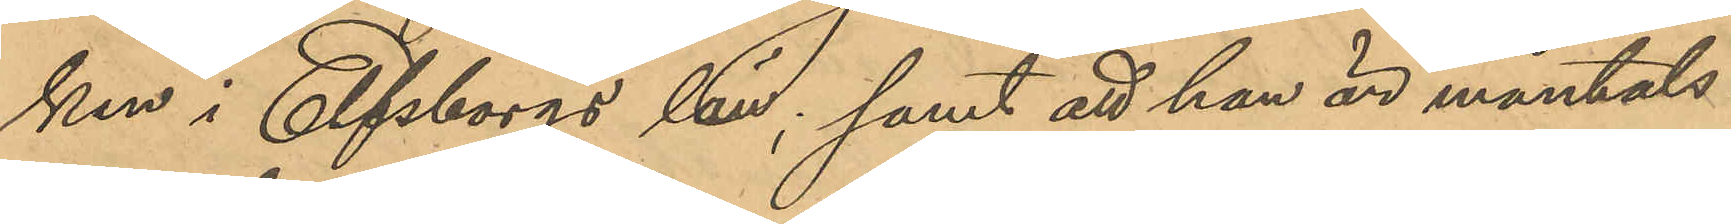ken i Elfsborgs län; samt att han är mantals -
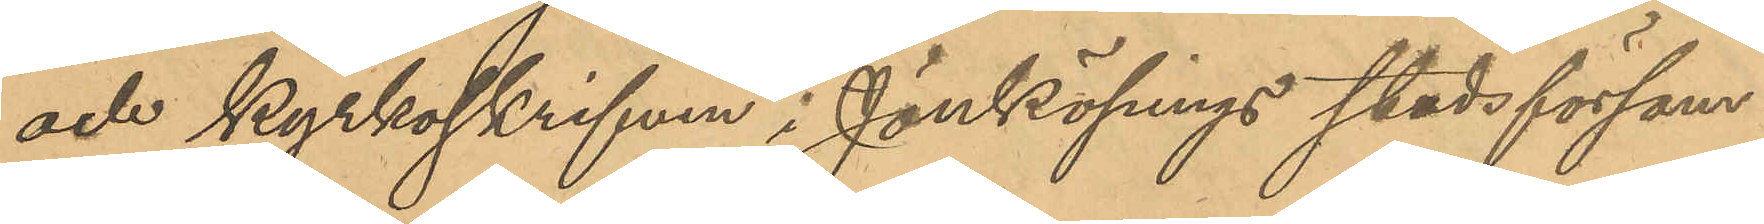och kyrkoskrifven i Jänköpings stadsförsam¬
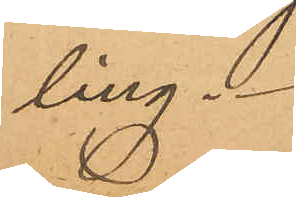ling.
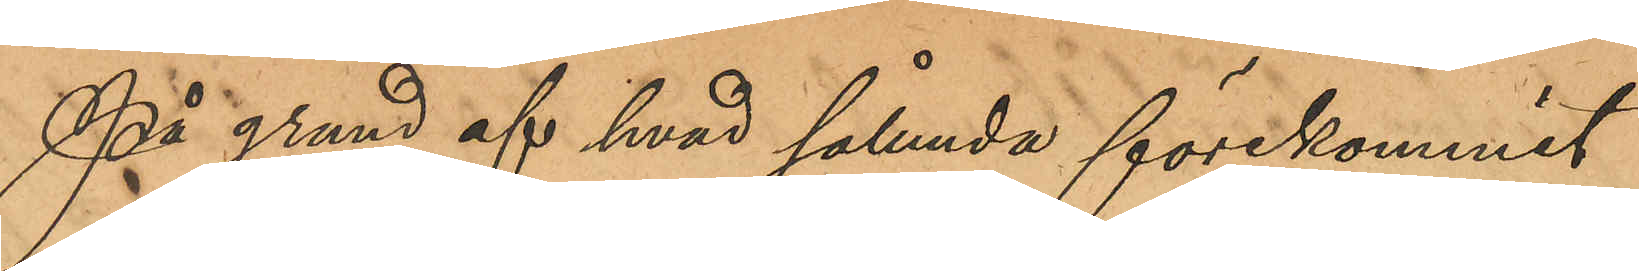På grund af hvad sålunda förekommit
